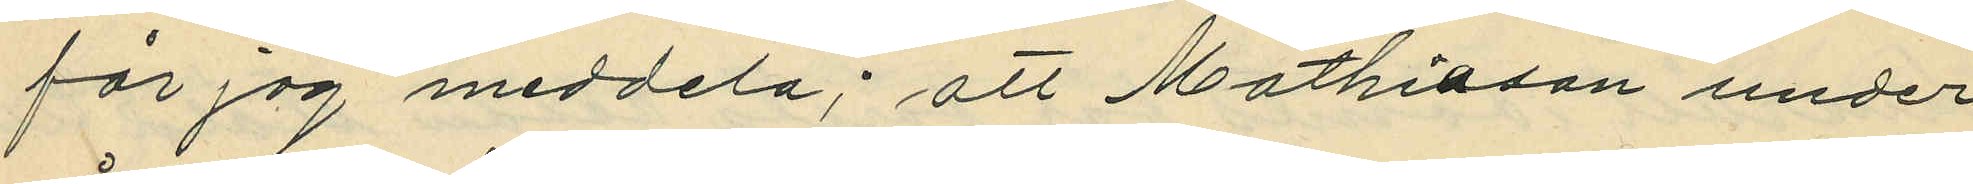får jag meddela; att Mathiason under
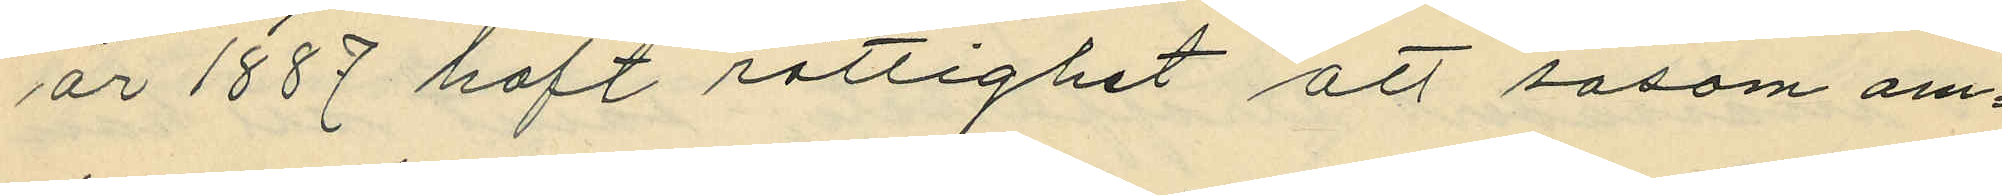år 1887 haft rättighet att sasom om¬
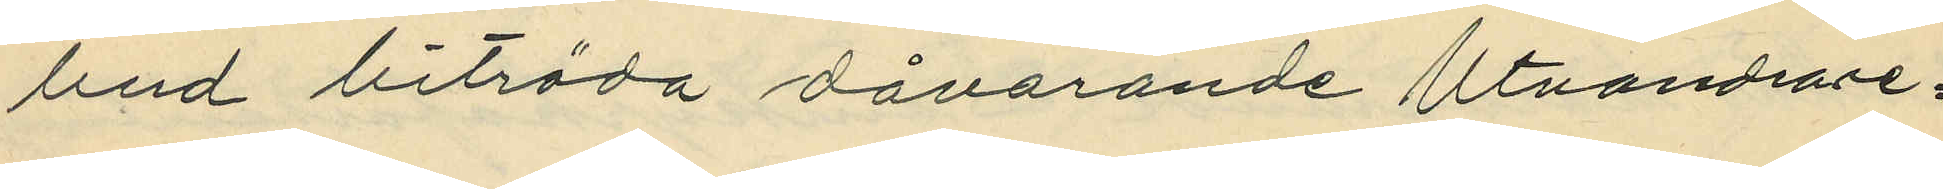bud biträda dåvarande Utvandrare¬
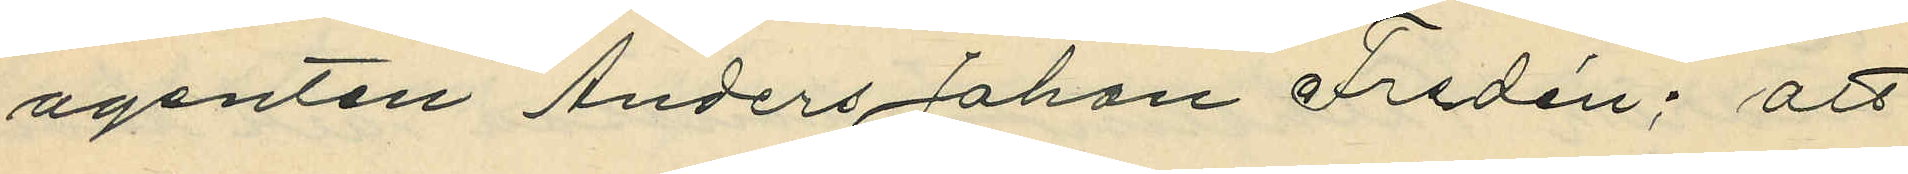agenten Anders Johan Fredén; att
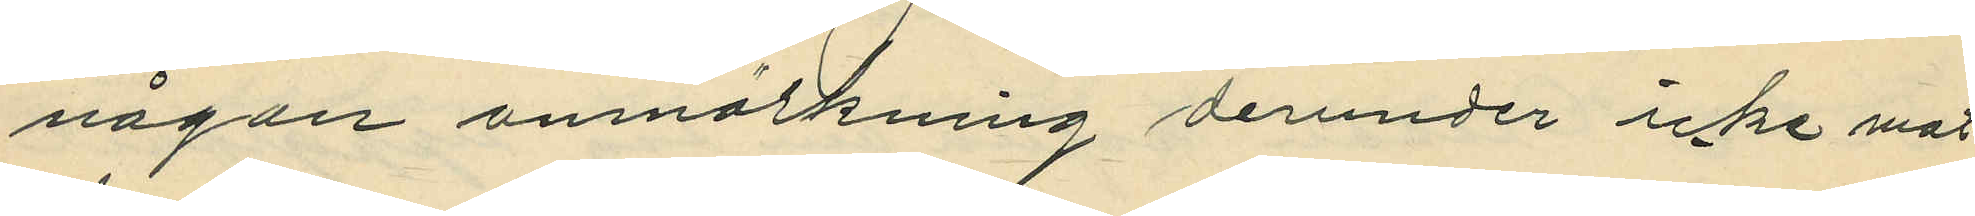någon anmärkning derunder icke mot
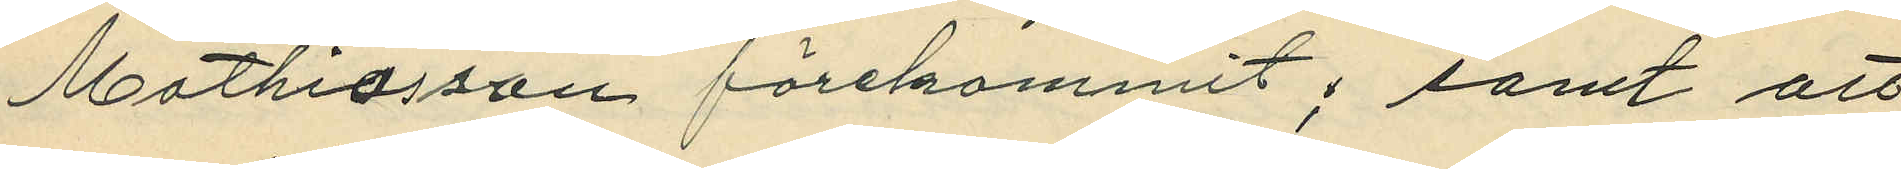Mathiasson förekommit; samt att
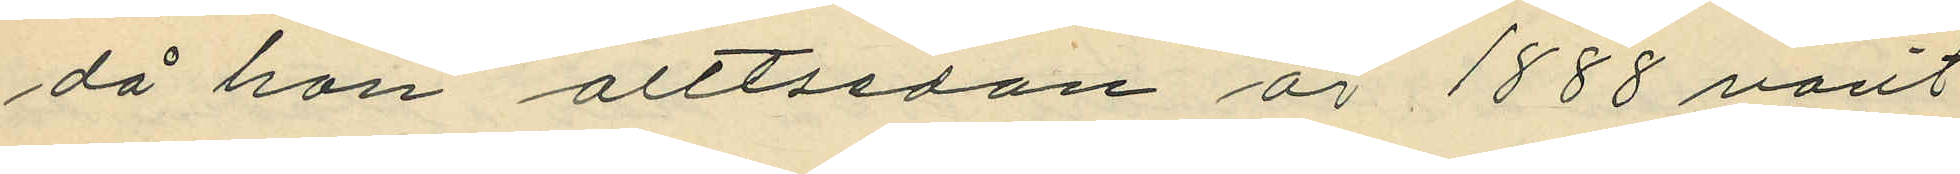då han alltsedan år 1888 varit
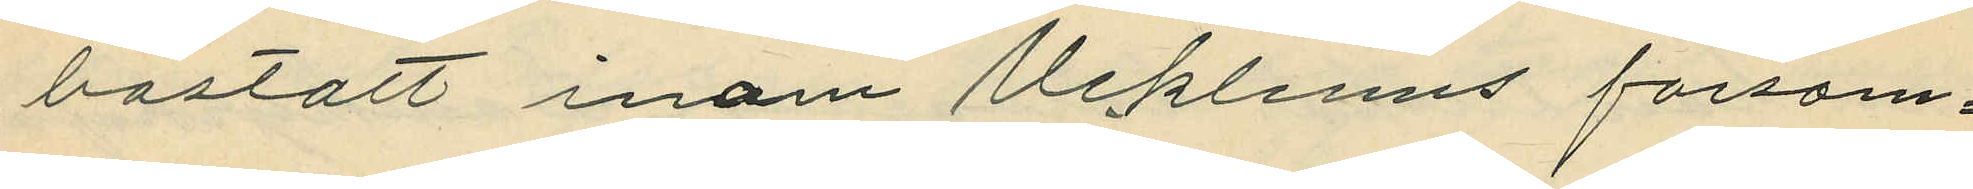bosatt inom Ucklums försam¬
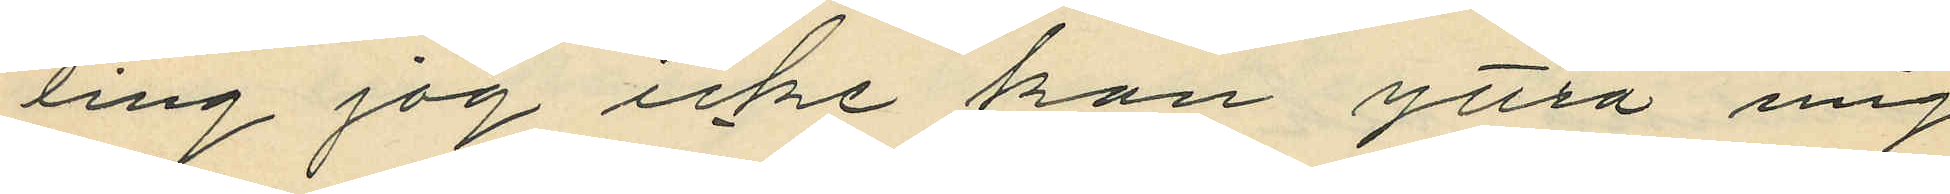ling jag icke kan yttra mig
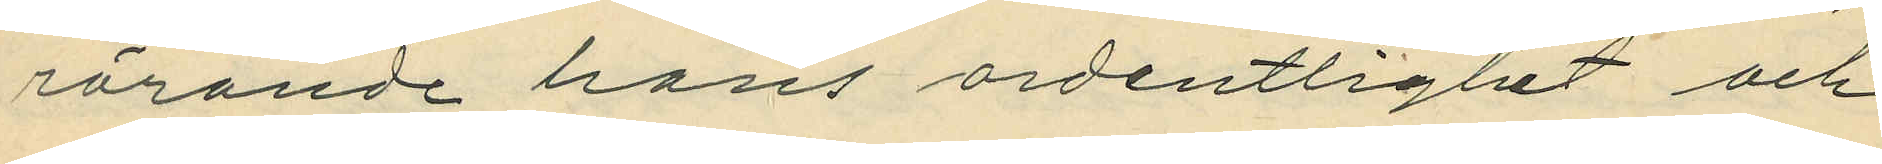rörande hans ordentlighet och
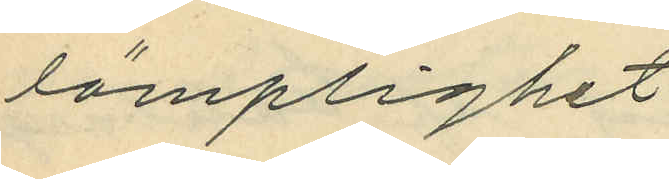lämplighet
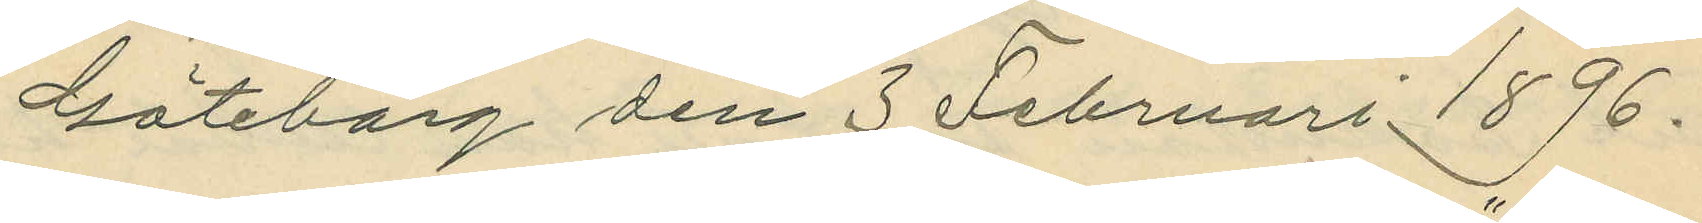Göteborg den 3 Februari 1896.
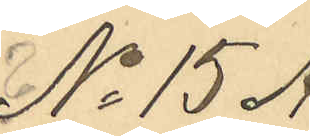No 15 A
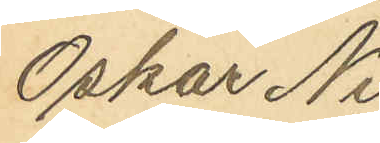Oskar Ni¬
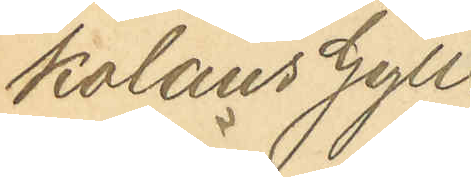kolaus Gyll¬
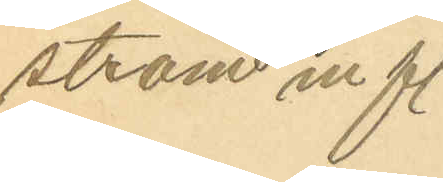ström m fl.
